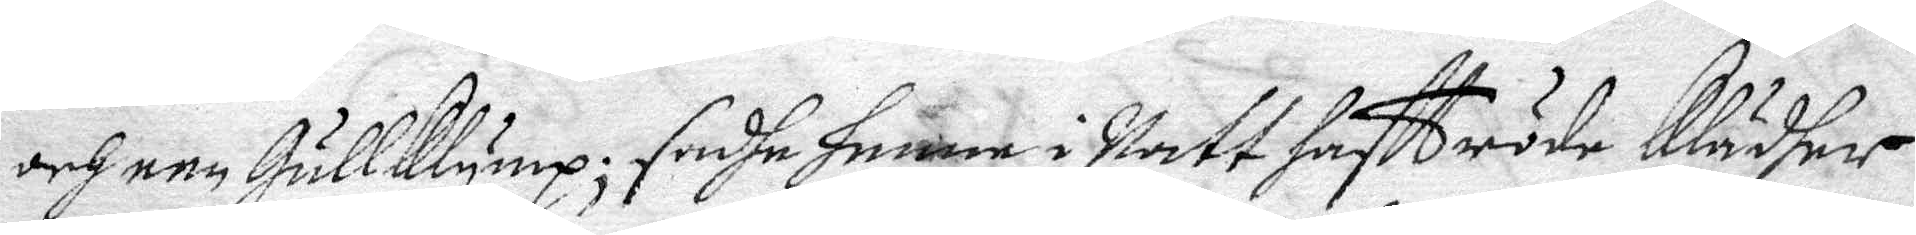och een Gullklymp; sadhe henne i Natt haftt röde Klädher
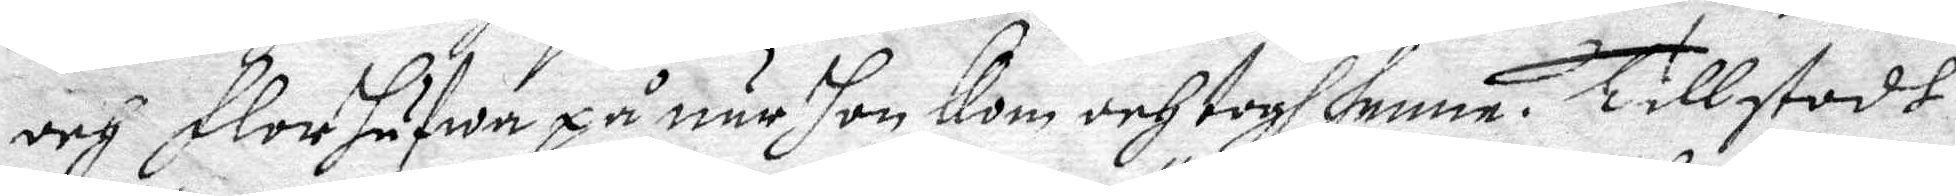och Florhufwa på när hon Kom och togh henne. Tillstodh
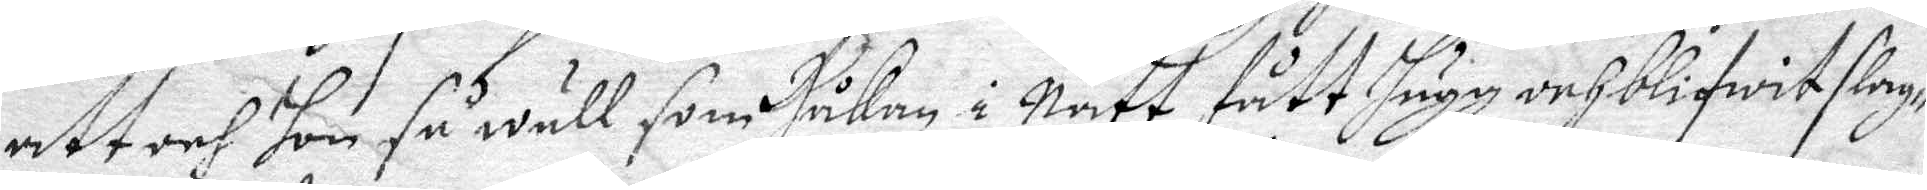att och hon så wäll som Håkan i Natt fått hugg och blifwit slag¬
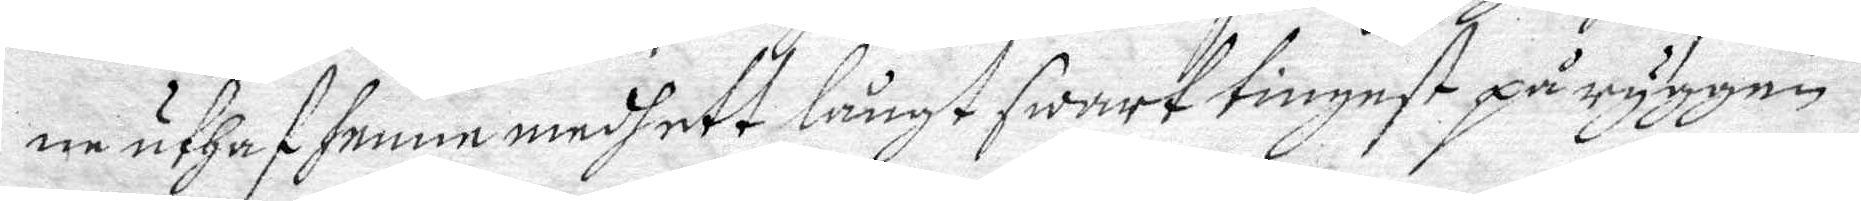ne uthaf henne medh ett långt swart tingest på ryggen.
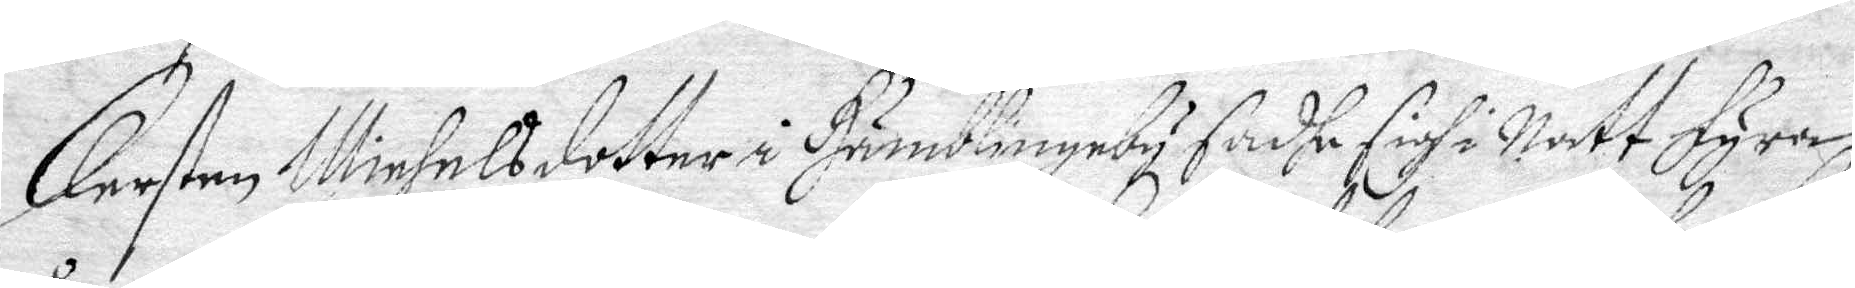Kersten Michels dotter i Humblingeby sadhe sighi Natt Fyra
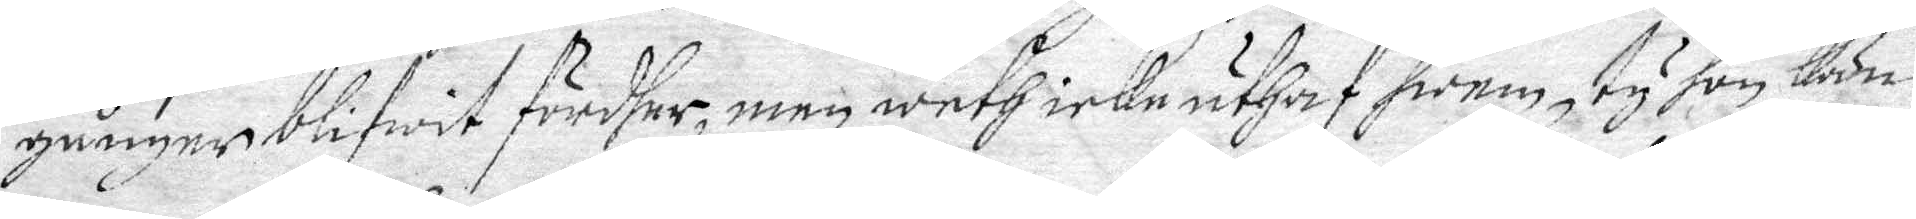gånger blifwit fördher, men weth icke uthaf hwem, ty hon kän¬
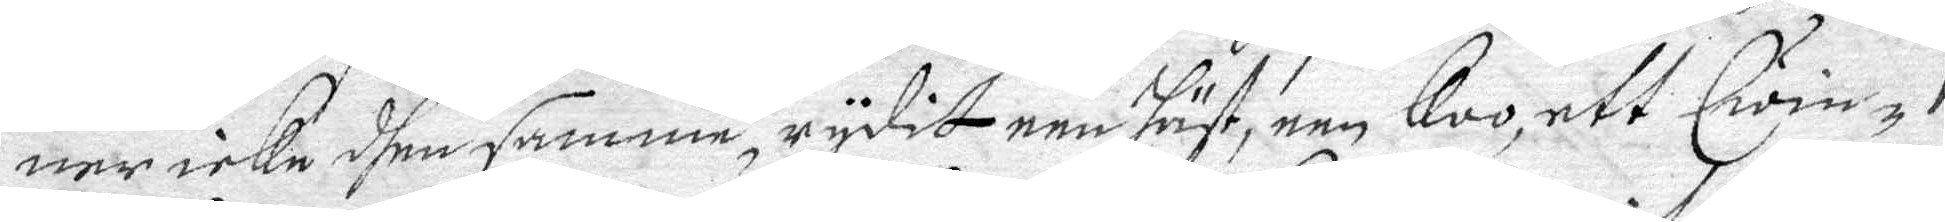ner icke dhen samme, rydit een häst, een Koo, ett Qwin¬
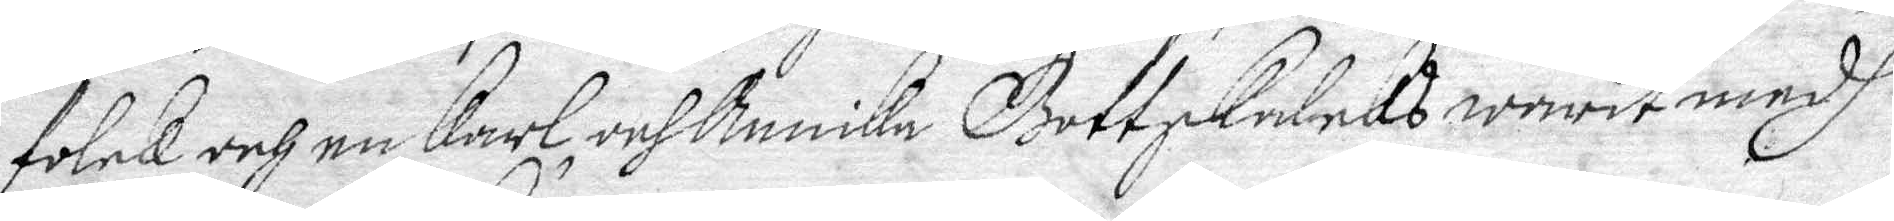folck och en karl, och Annika Gottskalcks warit medh 
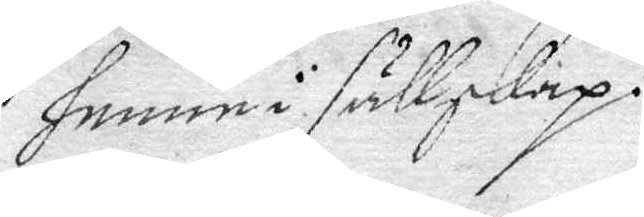henne sällskap.
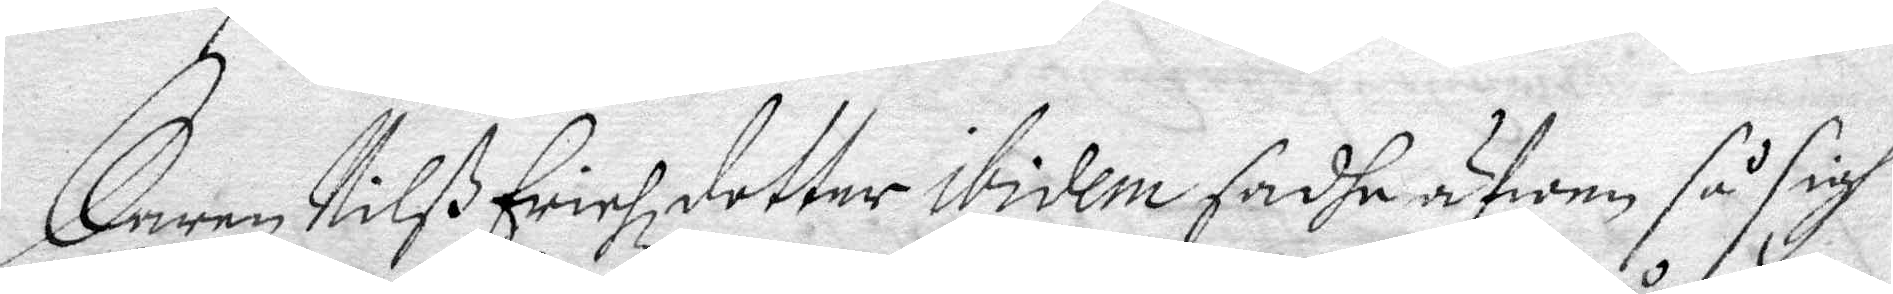Karen Nilß Erichzdetter ididem sadhe äfwen så sigh 
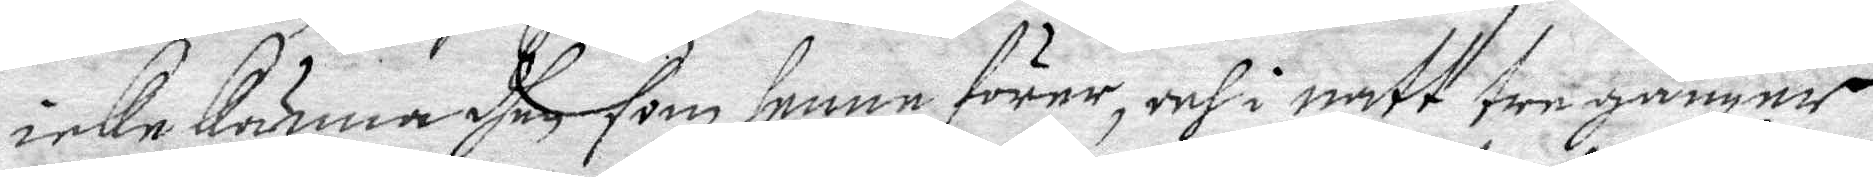icke känna dhen som henne förer, och i natt tre gånger
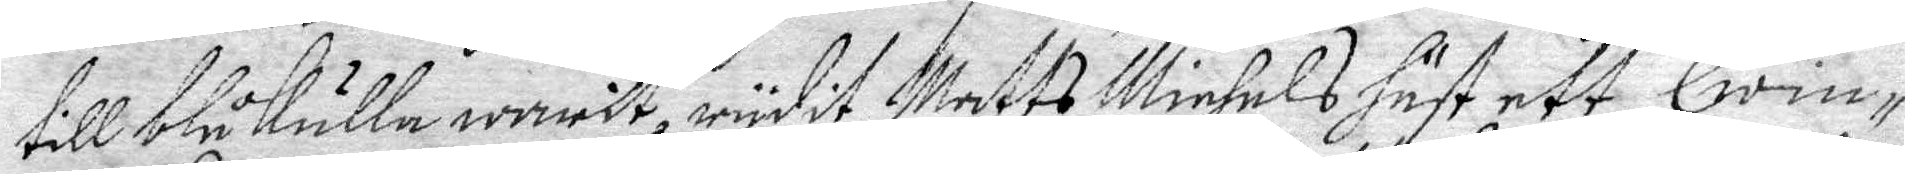till blåkulla warit, rydit Matts Michels häst ett Qwinm¬
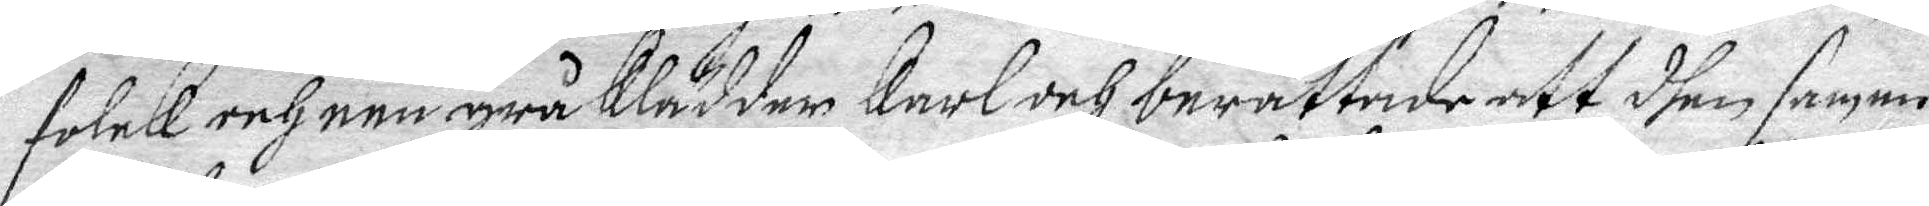folck och een grå klädder karl och berättade att dhen samme
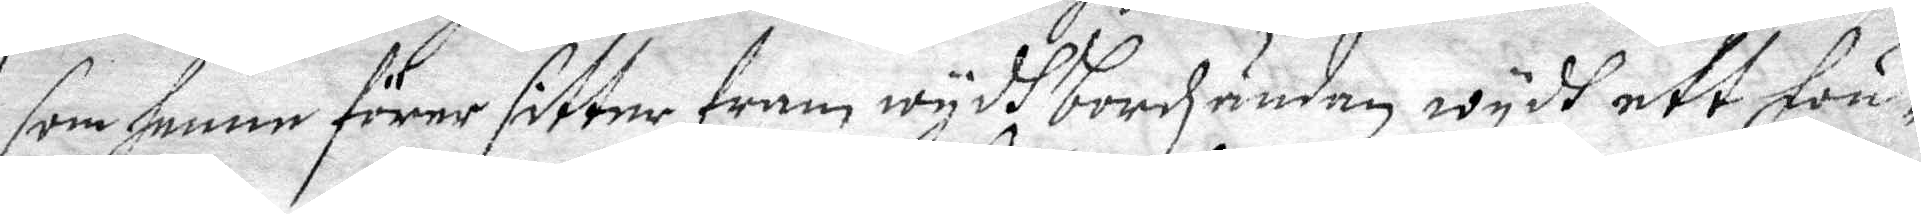som henne förer sitter fram wydh bordzuänden wydh ett fön¬
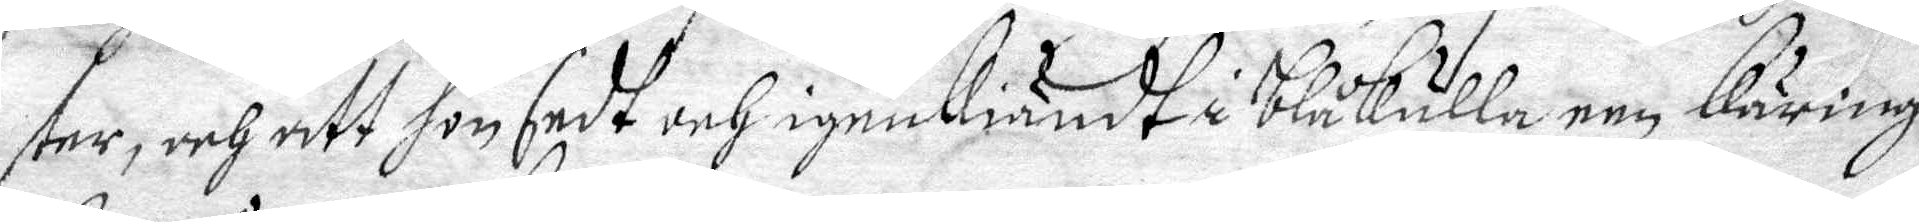ster, och att hon sedt och igenkiändt i blåkulla een käring
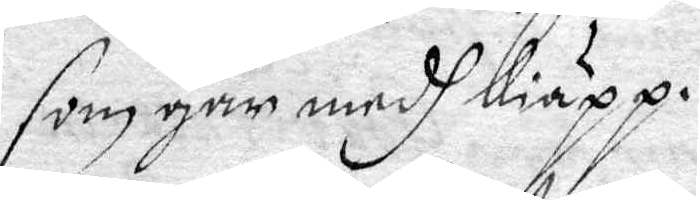som går medh Kiäpp.
